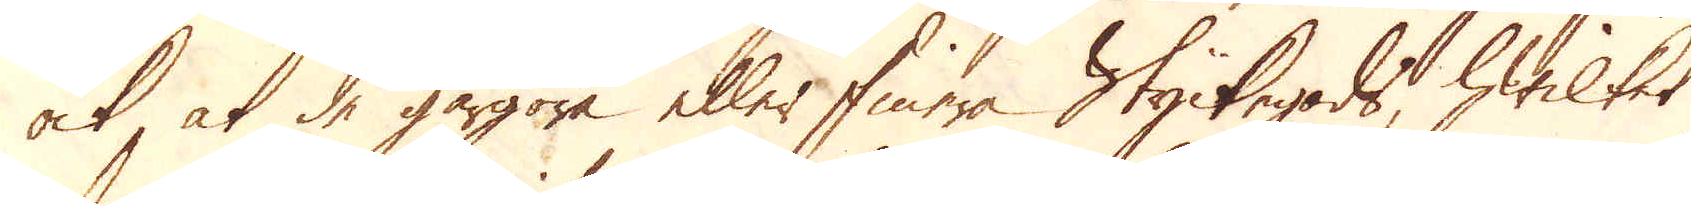ock, at de gårgöra eller finera Styckegods, hwilket
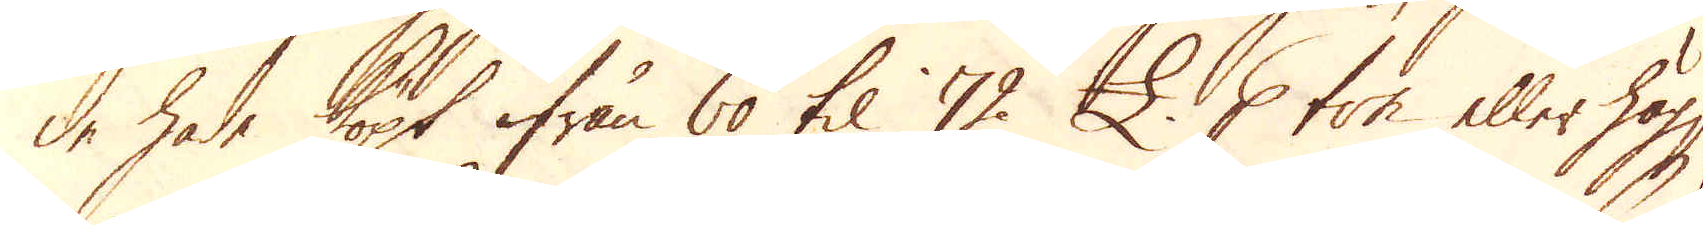de hade köpt ifrån 60 til 72 £. p ton eller högre,
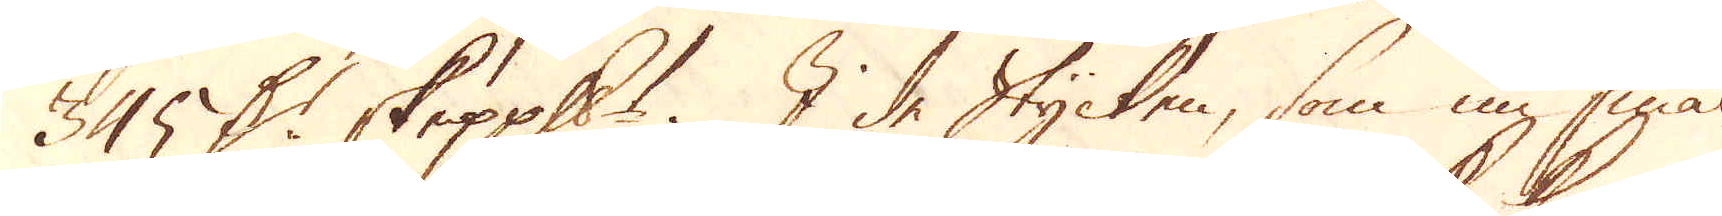345 D:r skeppundet. I de Stycken, som nu smäl-
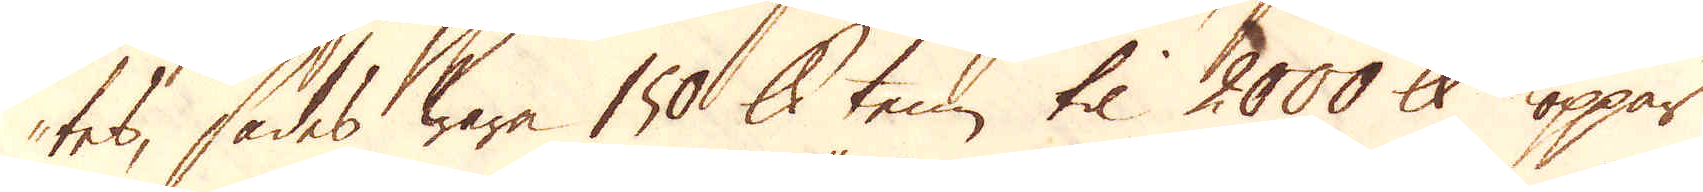tes, sades wara 1500 skålpund tenn til 2000 skålpund koppar
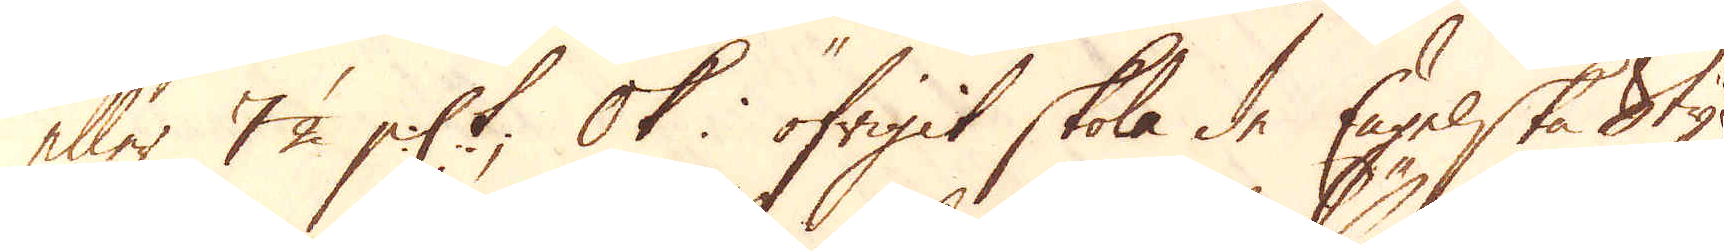eller 7 1/2 p:ct; Ok i öfrigit skola de Engelske Styc-
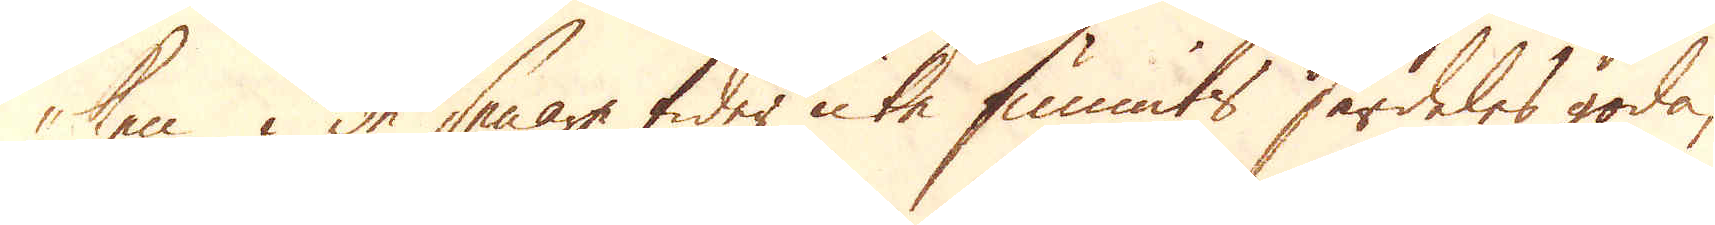ken i de senare tider icke funnits särdeles goda,
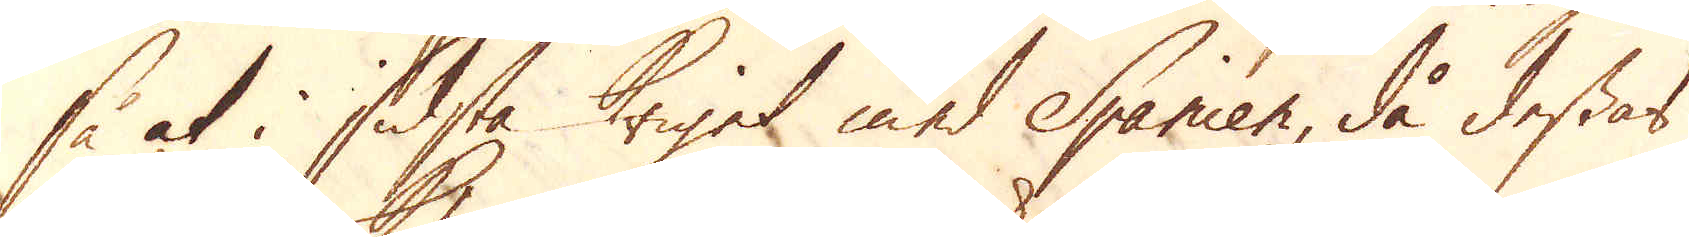så at i sidsta Kriget med Spanien, då dessas
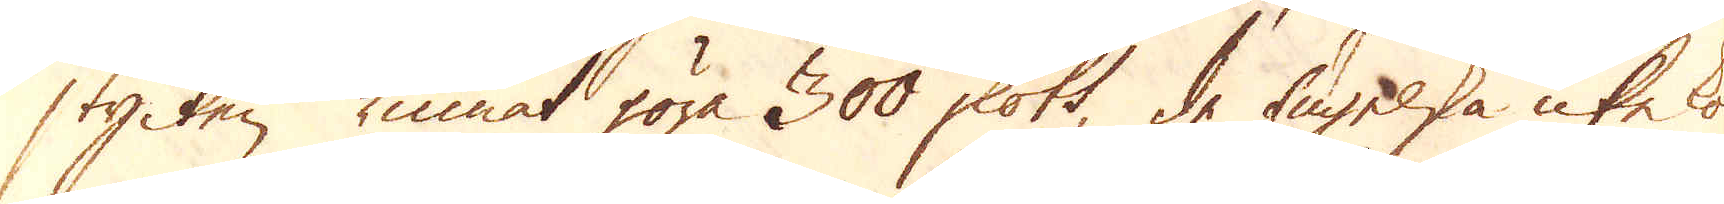stycken kunnat göra 300 skott, de Engelska icke ko-
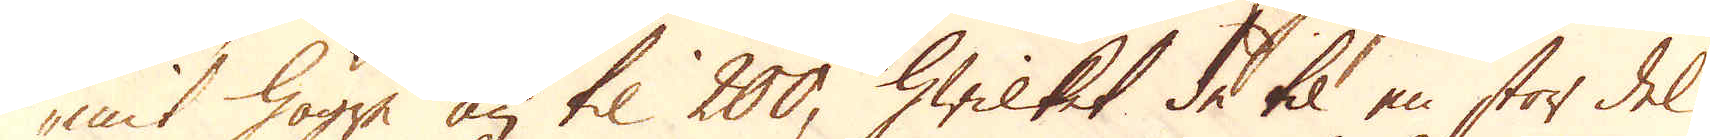mit högre än til 200, hwilket de til en stor del
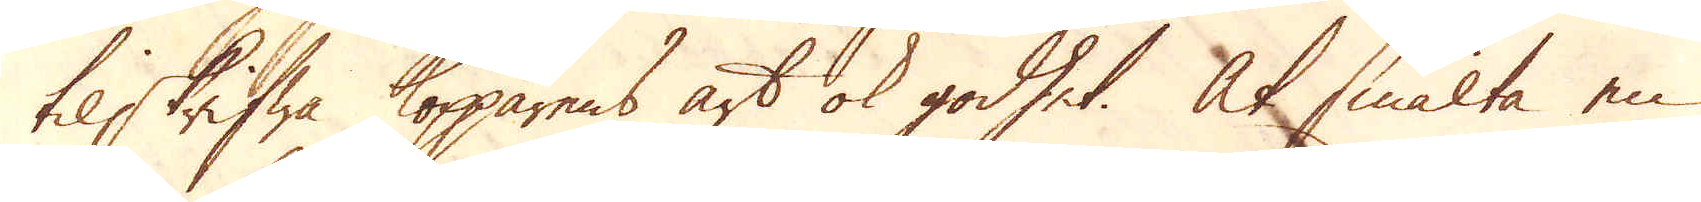tilskrifwa kopparens art ok godhet. At smälta en
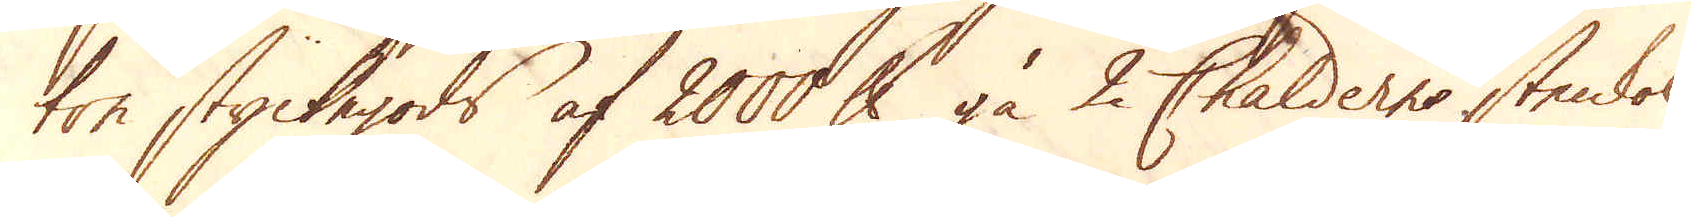ton styckegods af 2000 skålpund gå 2 Chalderne stenkol
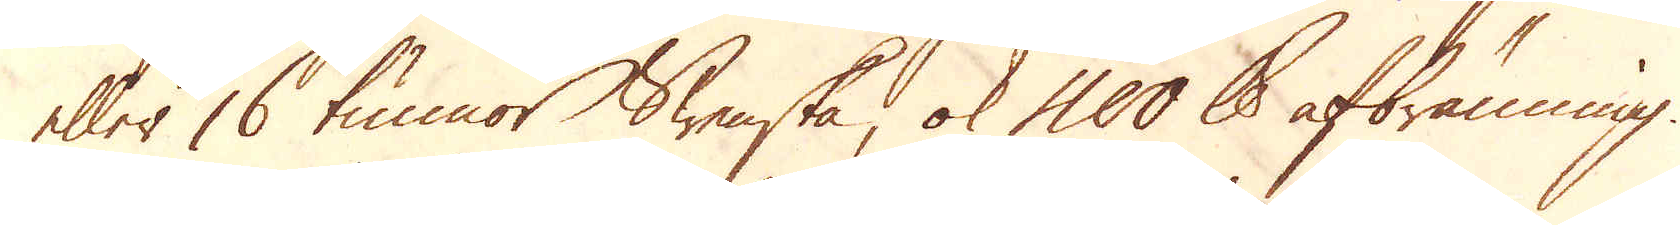eller 16 tunnor Swenska, ok 400 skålpund afbränning.
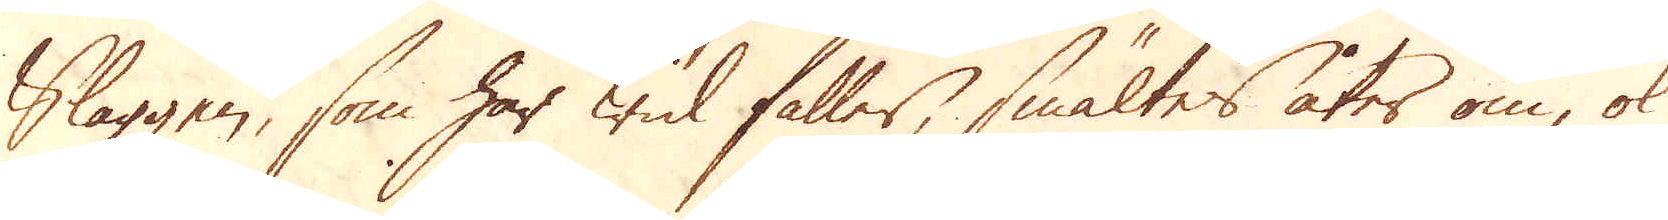Slaggen, som här wid faller, smältes åter om, ok
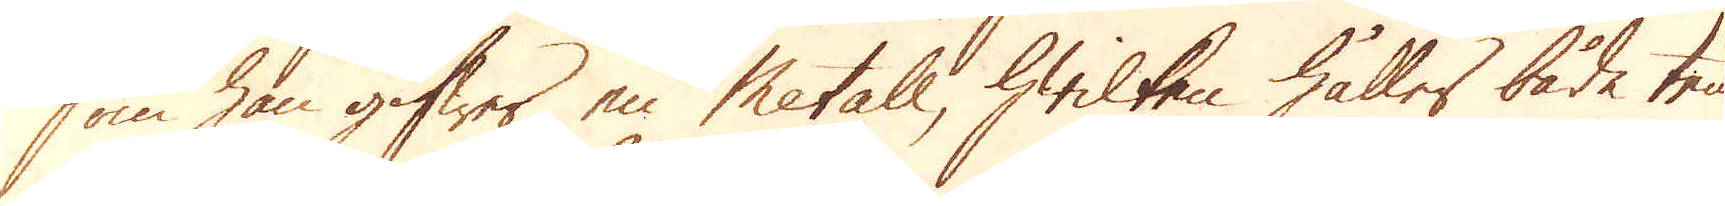som han gifwer en Metall, hwilken håller både ten
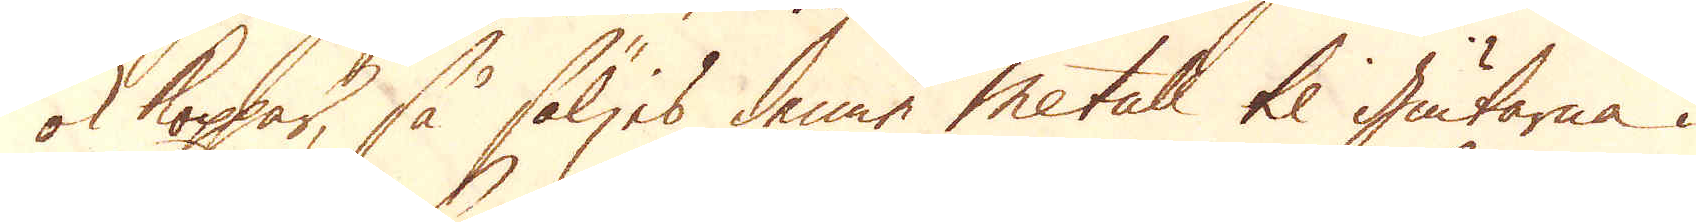ok koppar, så säljes denne Metall til giutarna i
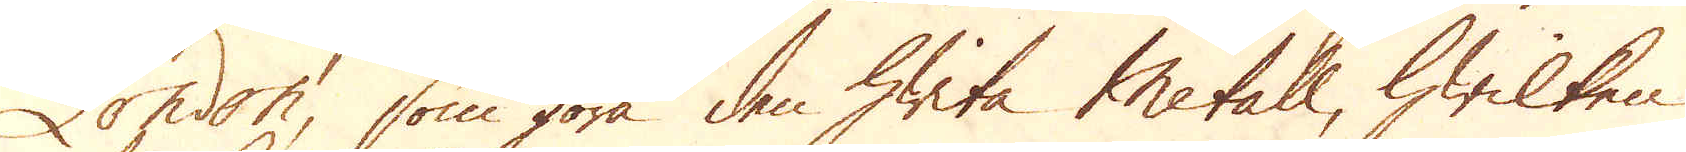London, som göra den hwita Metall, hwilken
